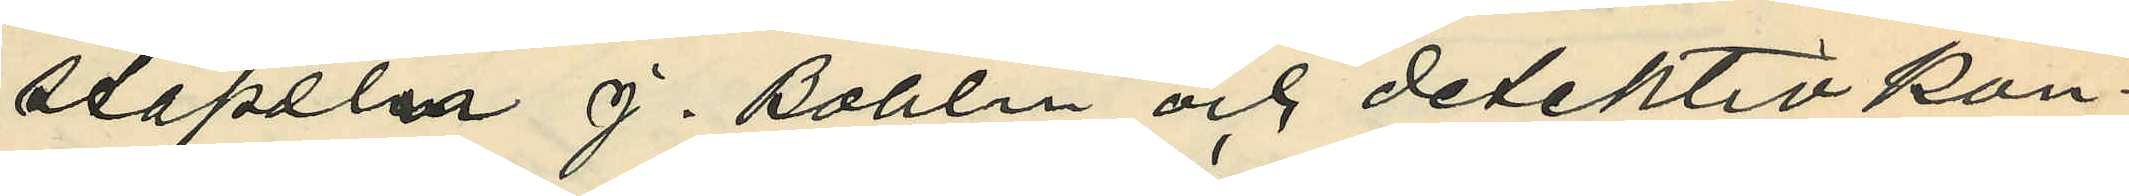stapeln J. Bohlin och detektivkon¬
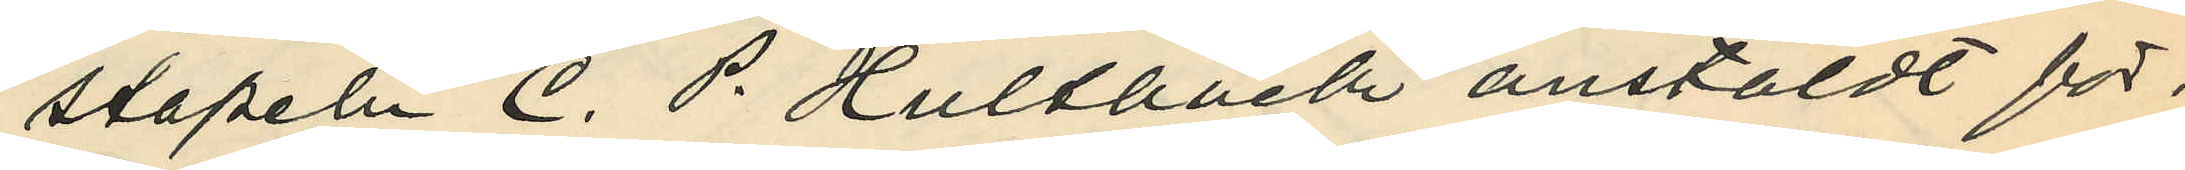stapeln C. P. Hultbäck anstäldt för¬
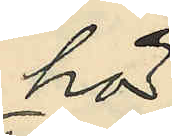hör
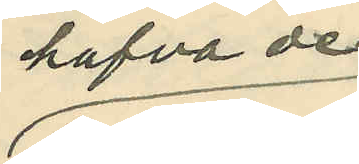hafva de
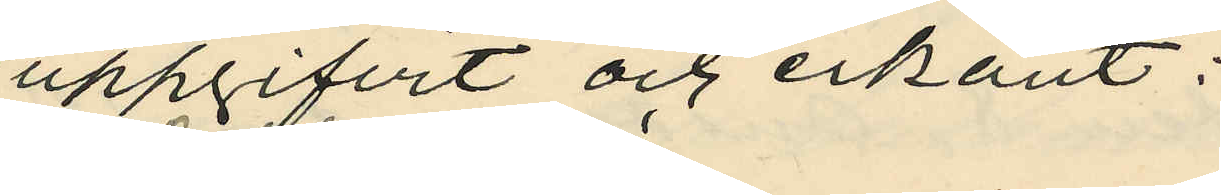uppgifvit och erkänt:
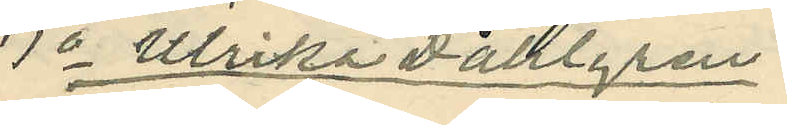1o Ulrika Dahlgren:
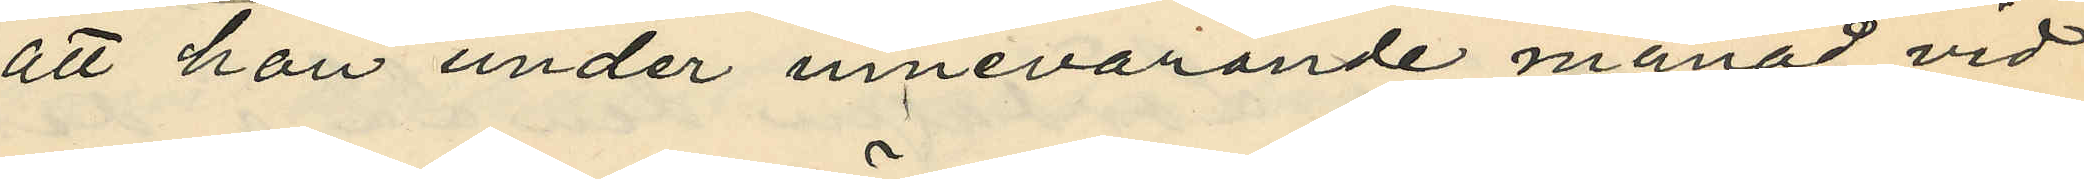att hon under innevarande månad vid
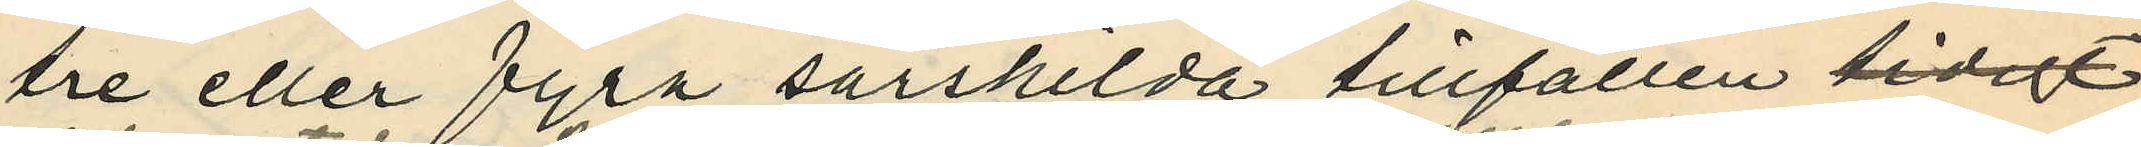tre eller fyra särskilda tillfällen tidigt
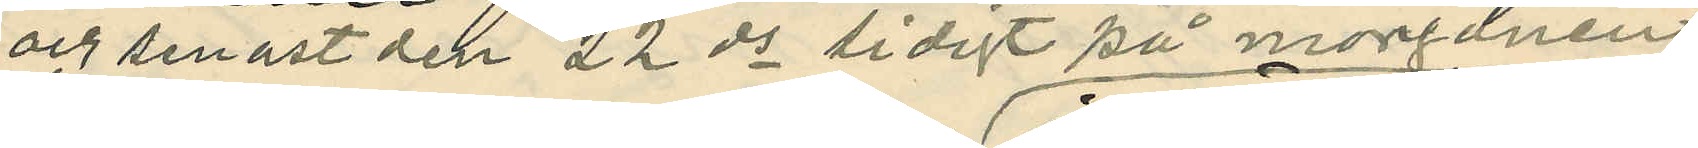och senast den 22 ds tidigt på morgonen
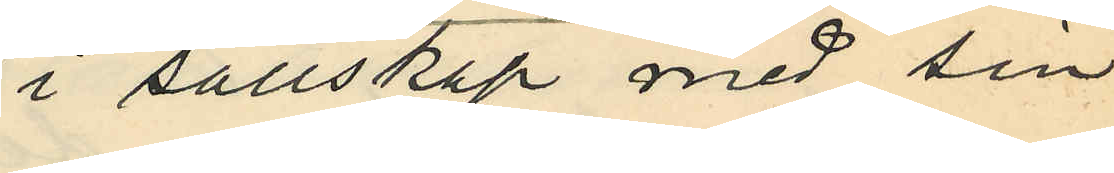i sällskap med sin
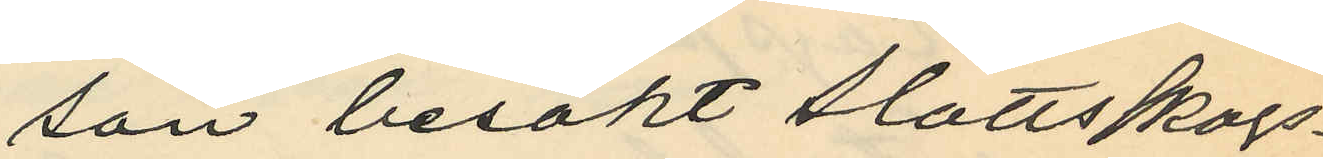son besökt Slottsskogs¬
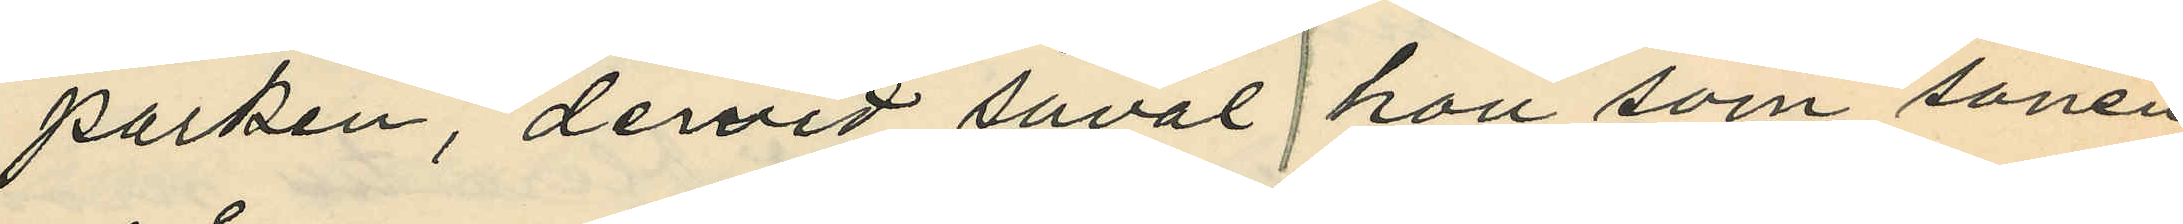parken, dervid såväl hon som sonen
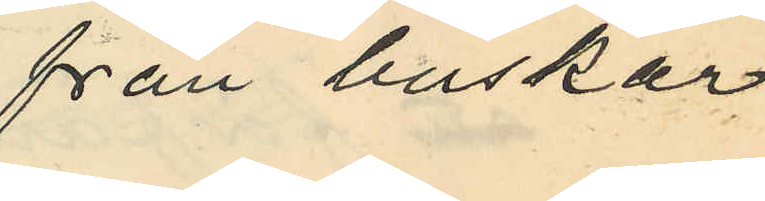från buskar
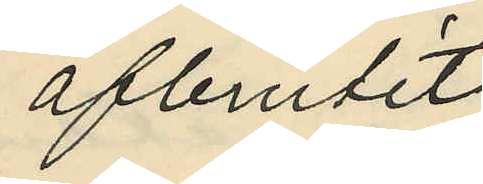afbrutit
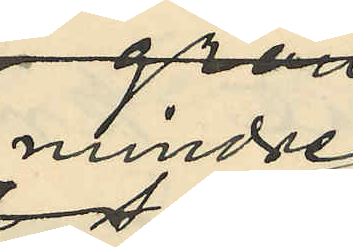mindre
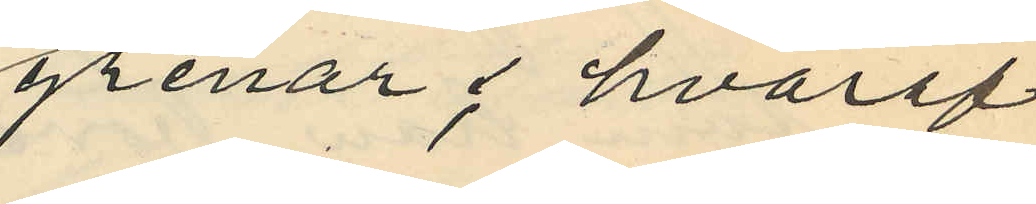grenar; hvaraf
